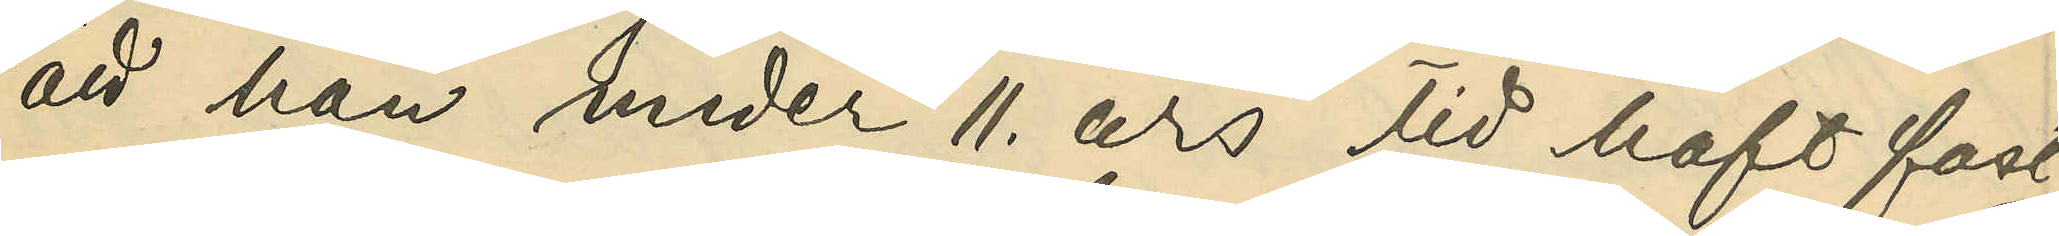att han under 11. års tid haft fast
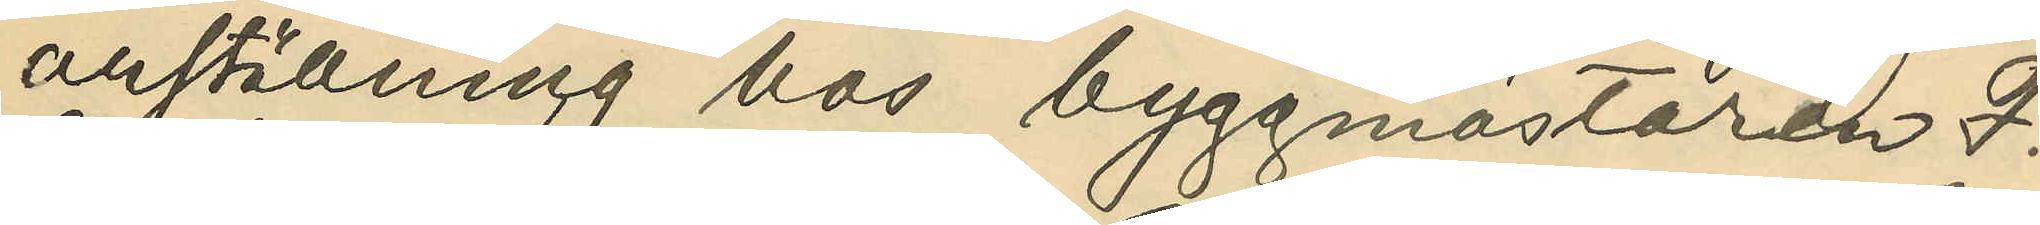anställning hos byggmästaren F.
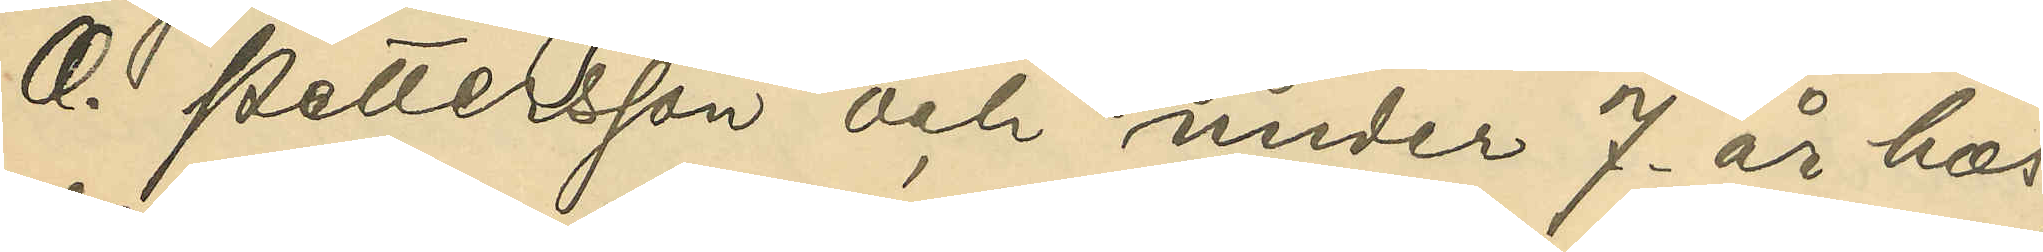O. Pettersson och under 7. års hos
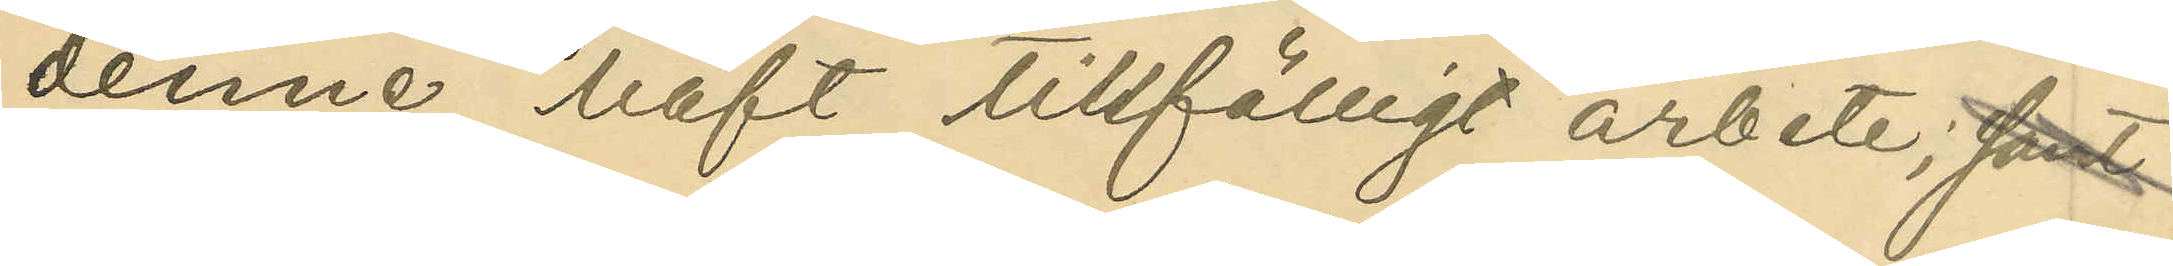denne haft tillfälligt arbete; samt
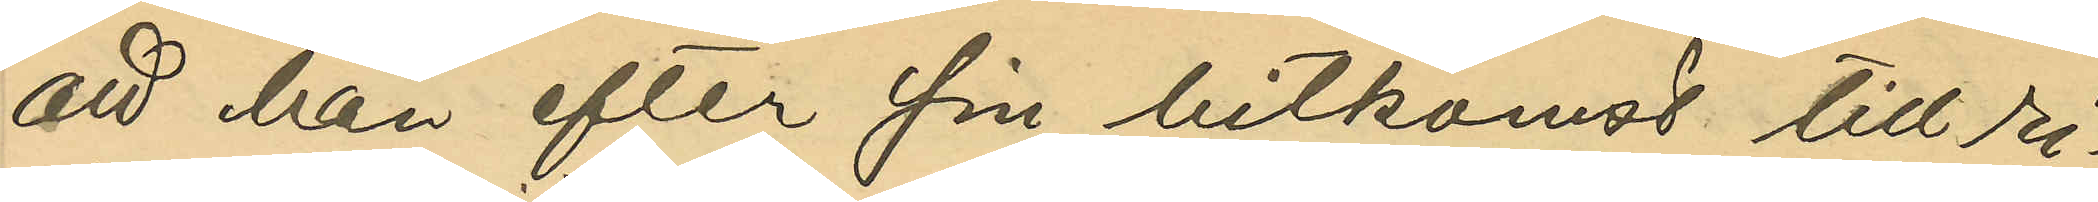att han efter sin hitkomst till ri¬
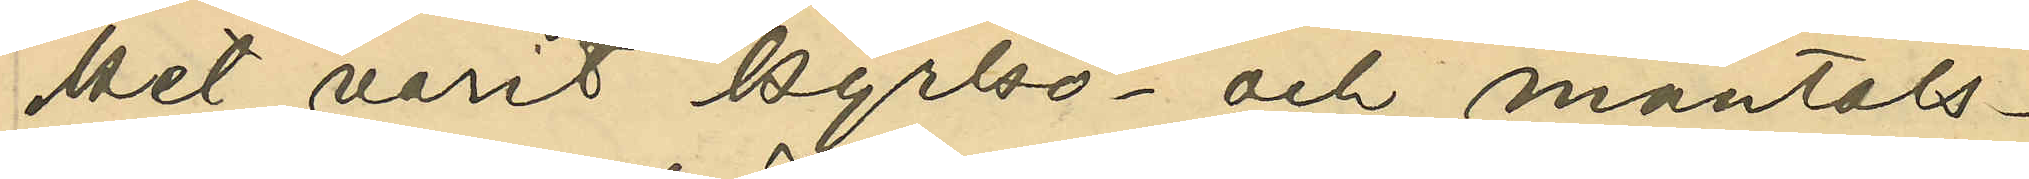ket varit kyrko- och mantals¬
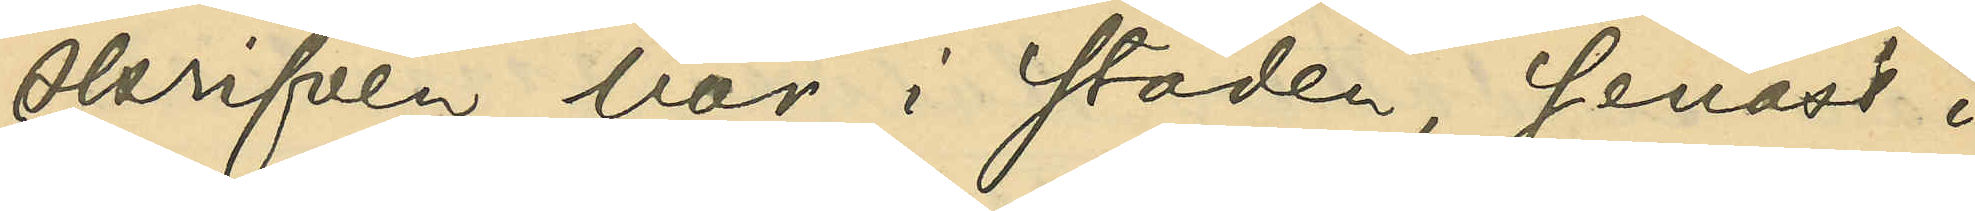skrifven här i staden, senast i
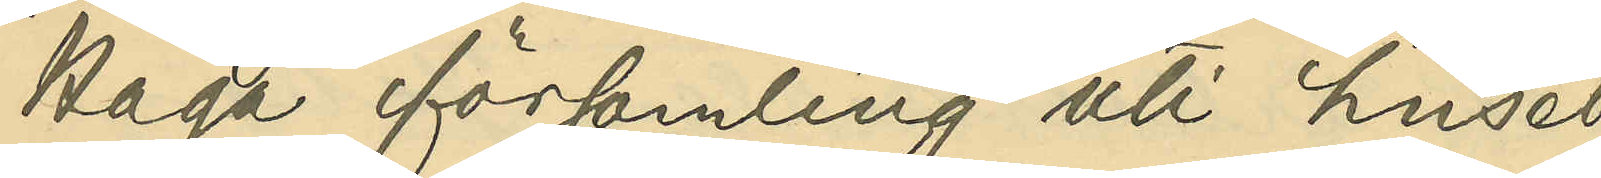Haga församling uti huset
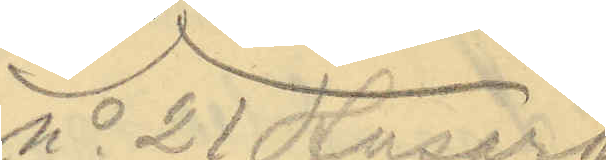No 21 Husarg.
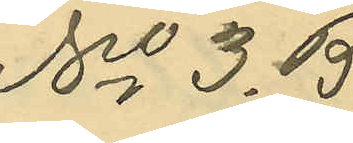No 3. B.
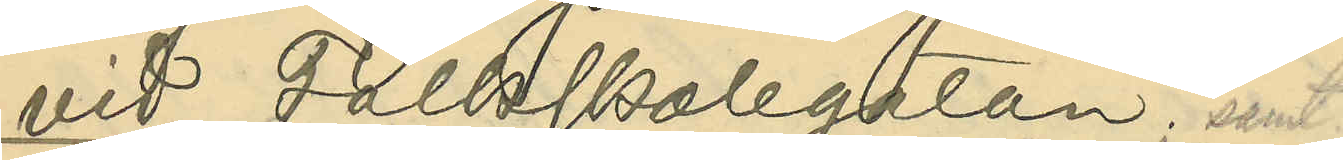vid Folkskolegatan; samt
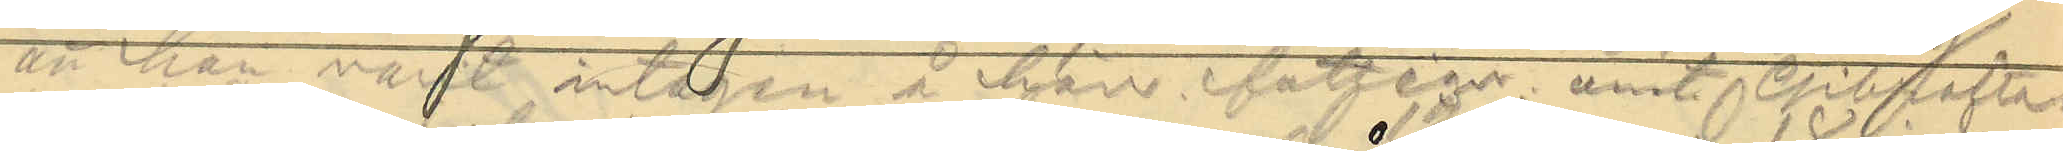att han varit intagen å härv. fattigv. anst. Gibraltar
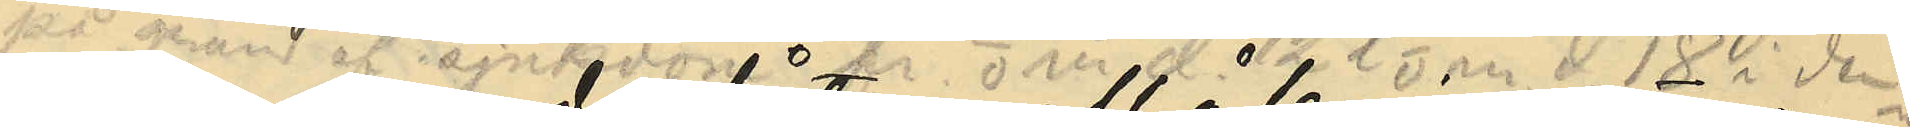 på grund af sjukdom fr.o.m med 12 t. o. m d. 18. i denna
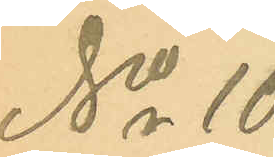No 10.
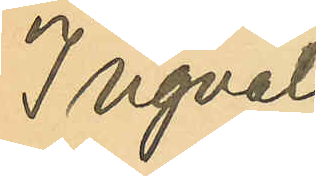Ingvald
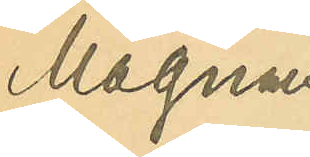Magnus
